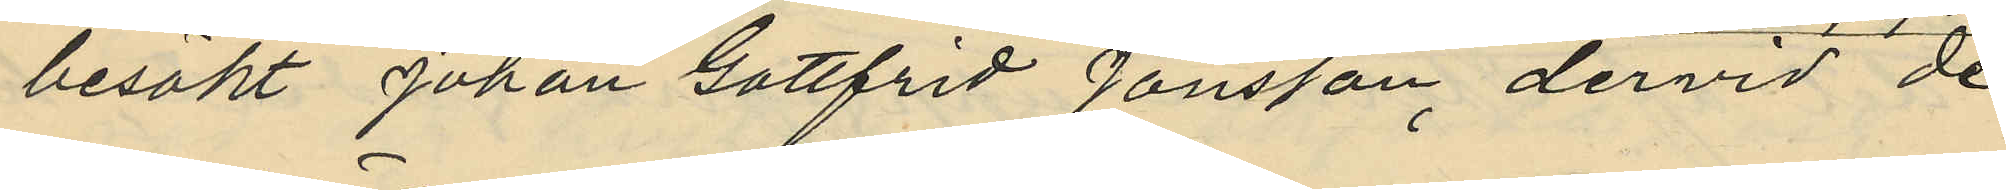besökt Johan Gottfrid Jönsson, dervid de
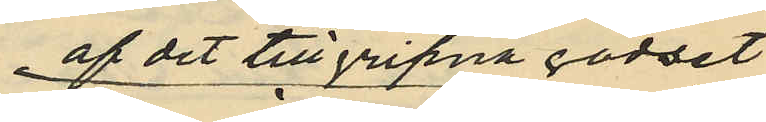af det tillgripna godset
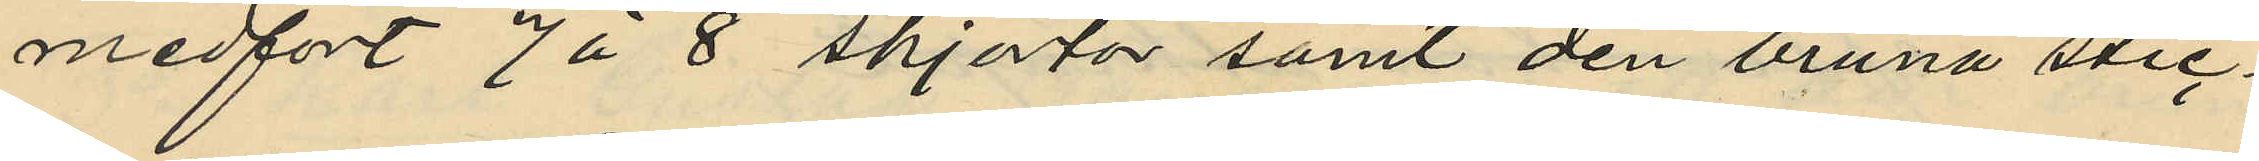medfört 7 á 8 skjortor samt den bruna stic¬
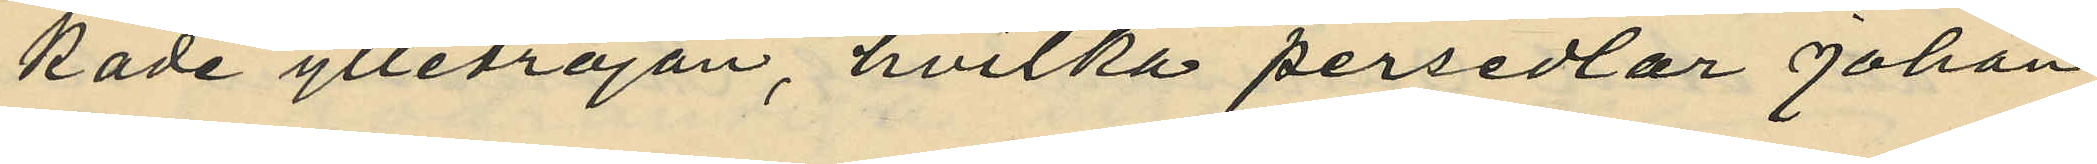kade ylletröjan, hvilka persedlar Johan
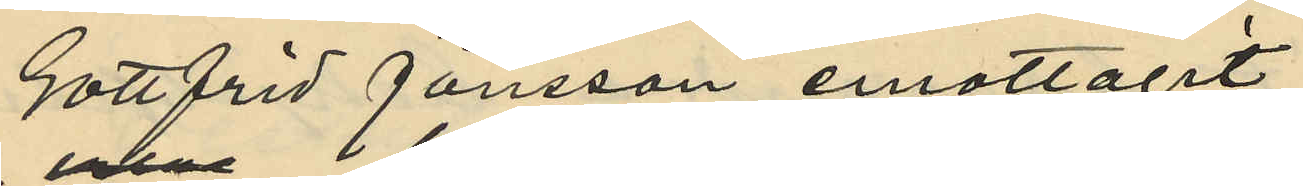Gottfrid Jönsson emottagit
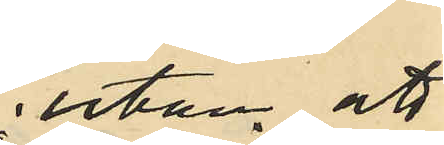utan att
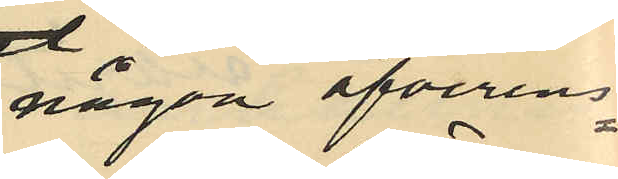någon öfveren¬
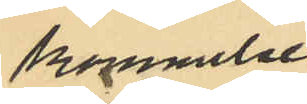kommelse
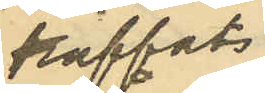träffats.
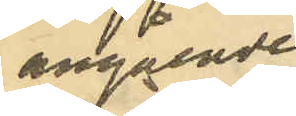angående
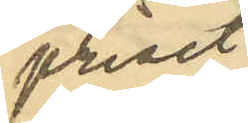priset
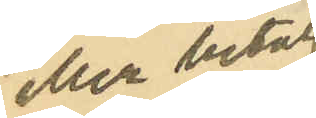eller betal¬
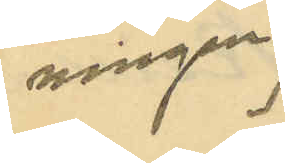ningen
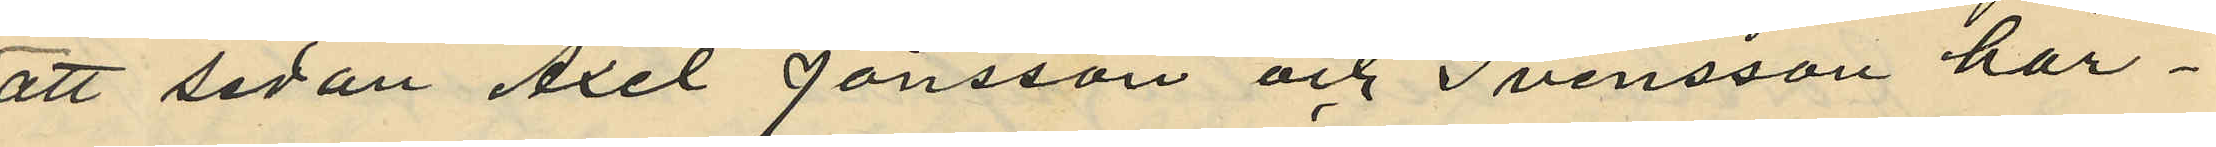att sedan Axel Jönsson och Svensson här¬
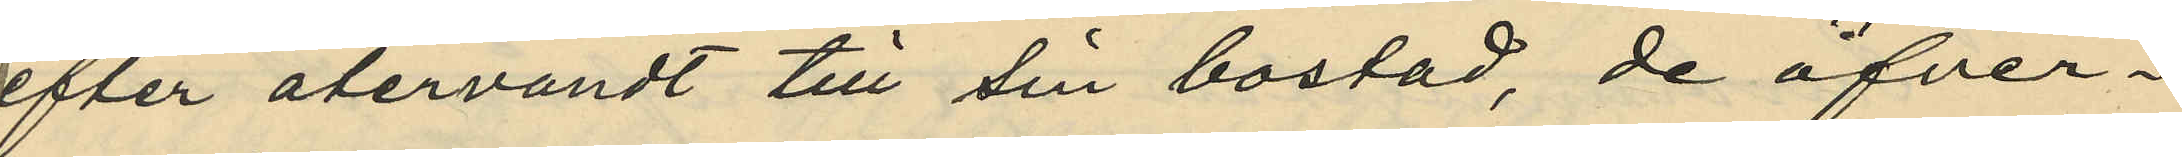efter återvändt till sin bostad, de öfver¬
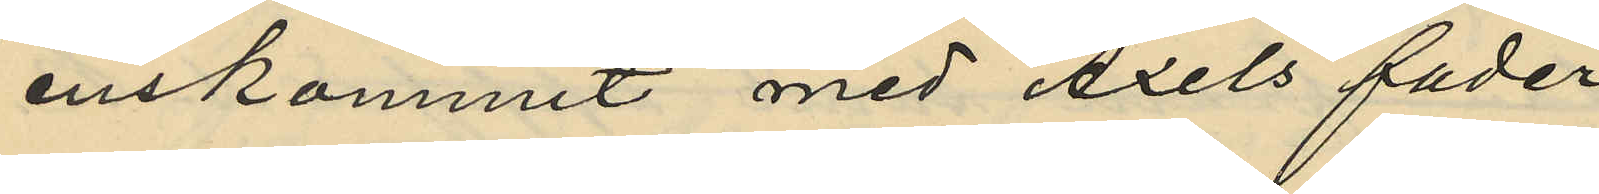enskommit med Axels fader
